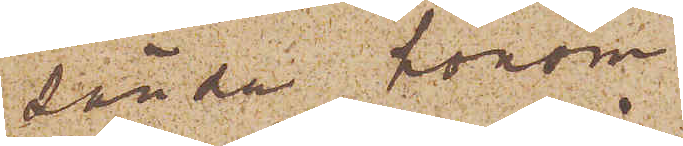sända honom.
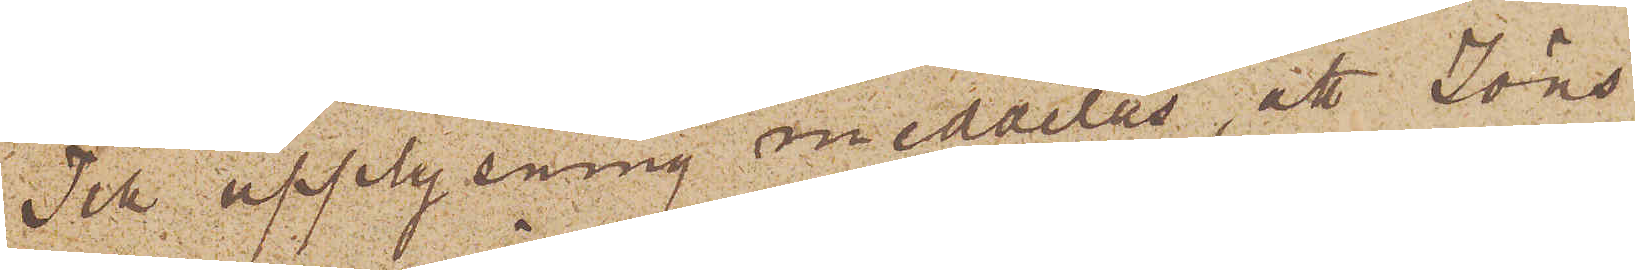Till upplysning meddelas, att Jöns
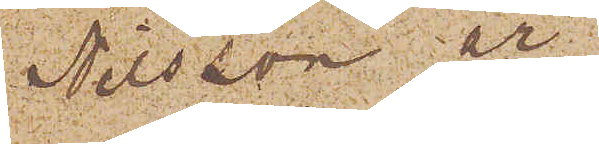Nilsson är
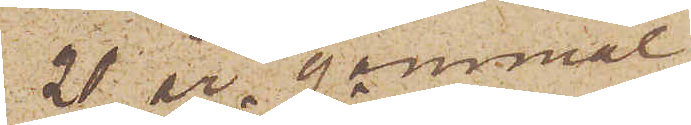21 år gammal,
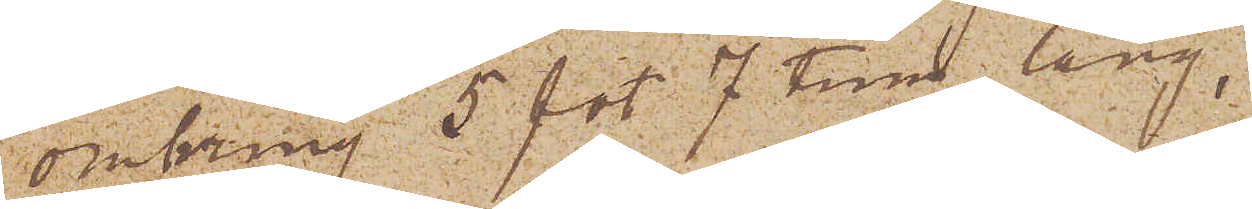omkring 5 fot 7 tum lång,
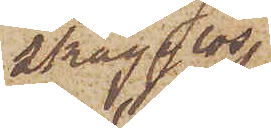skägglös,
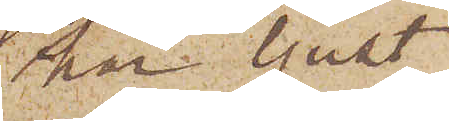har ljust
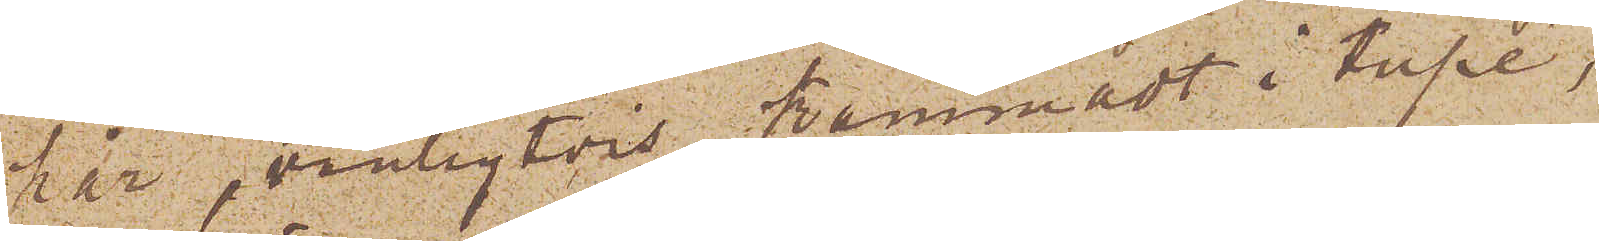hår, vanligtvis kammadt i tupé,
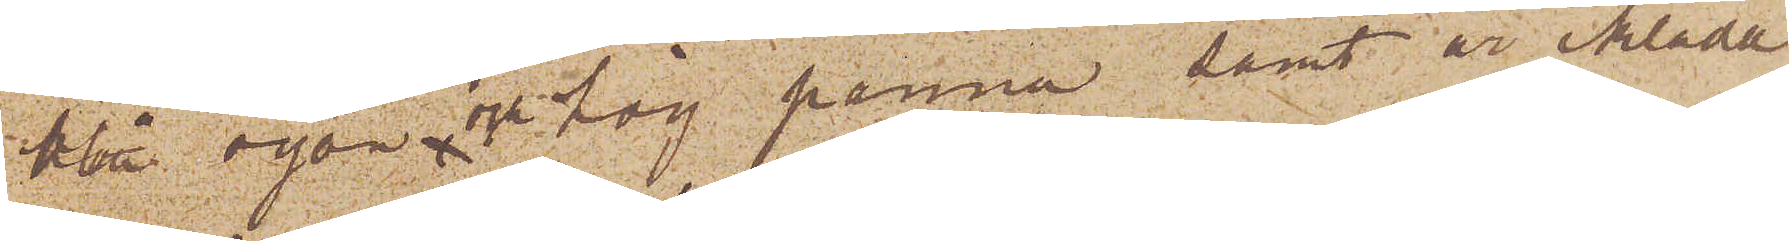blå ögon och hög panna samt är iklädd
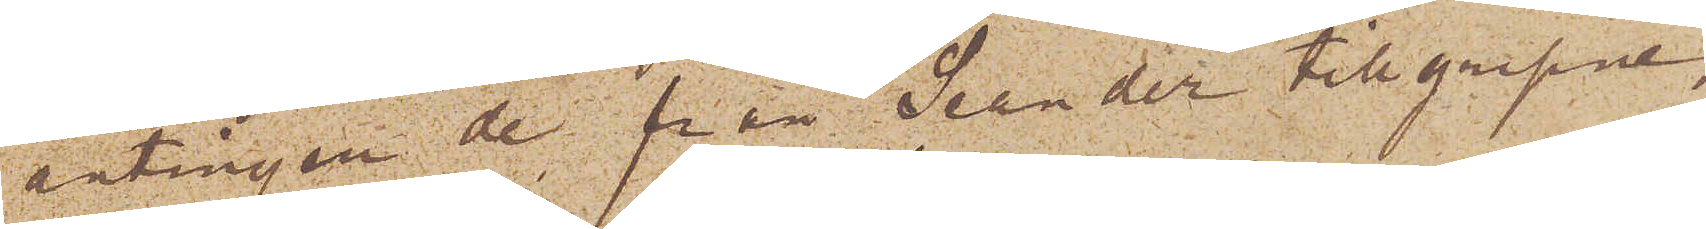antingen de från Seander tillgripne,
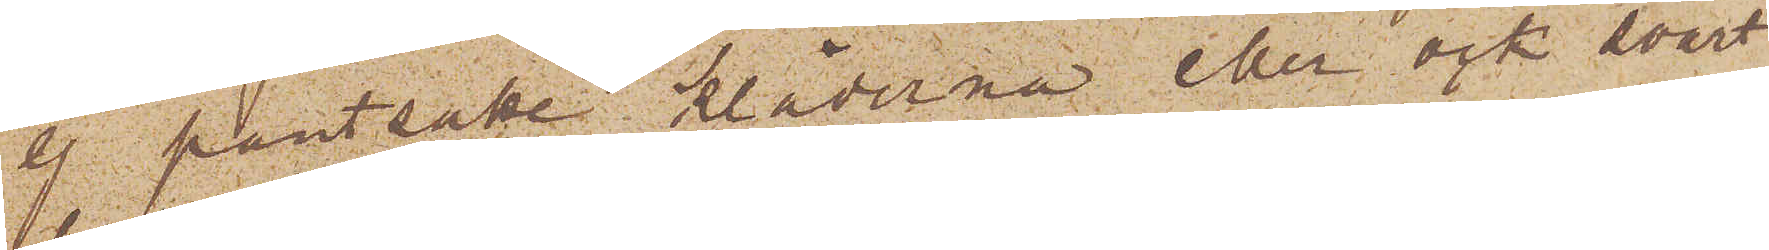ej pantsatte kläderna eller ock svart
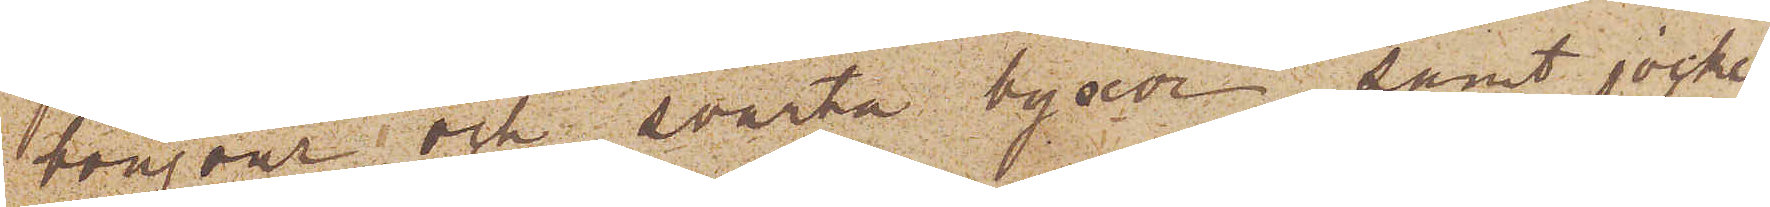bonjour och svarta byxor samt jockey
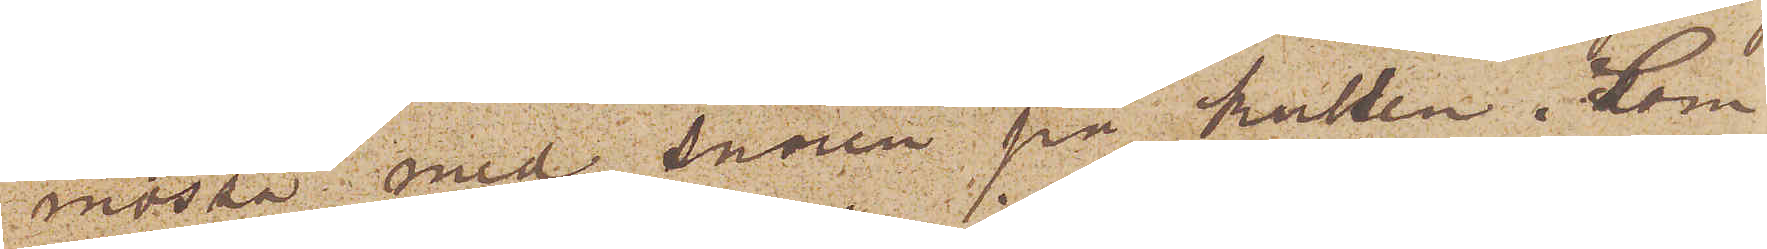mössa med snören på kullen. Som
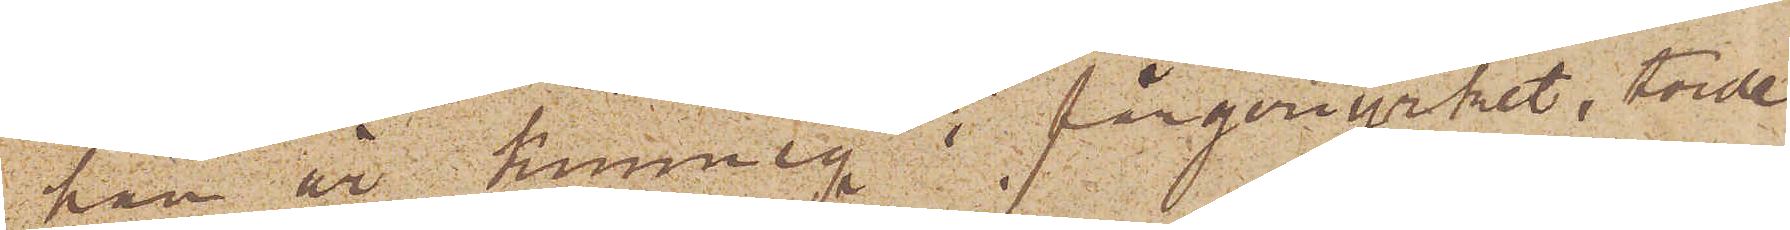han är kunnig i färgeriyrket, torde
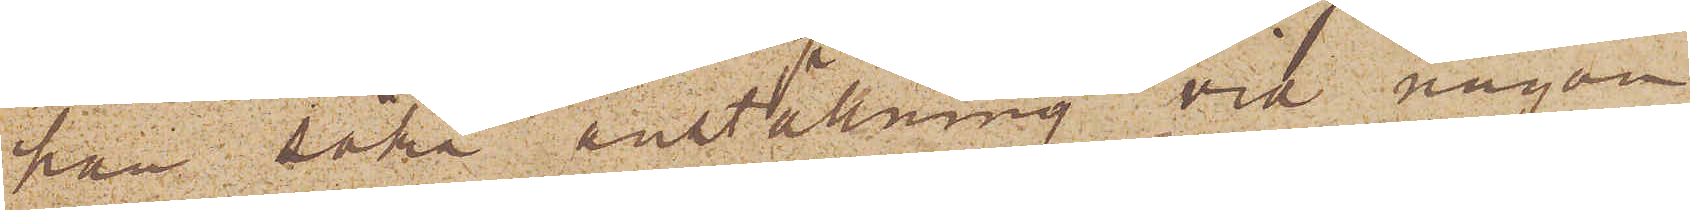han söka anställning vid någon
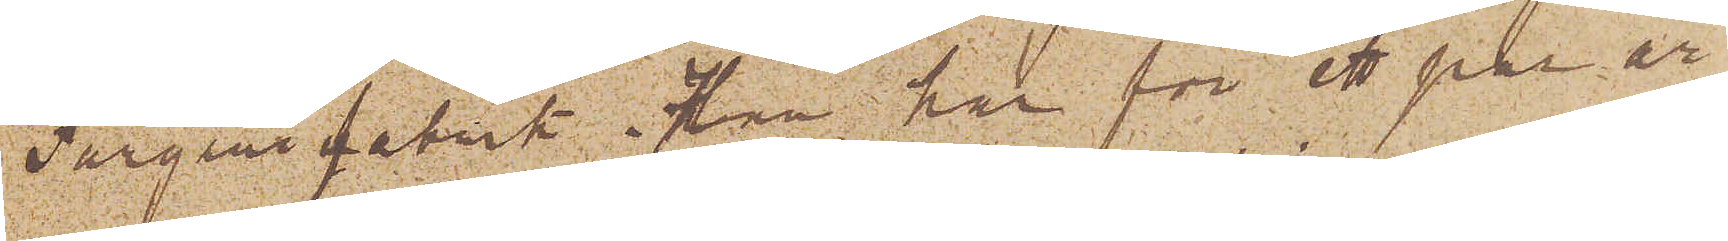Färgerifabrik. Han har för ett par år
